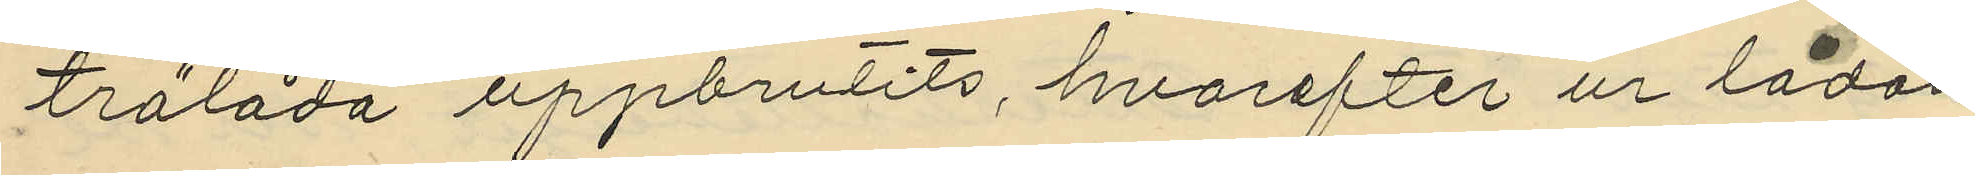trälåda uppbrutits, hvarefter ur lådan
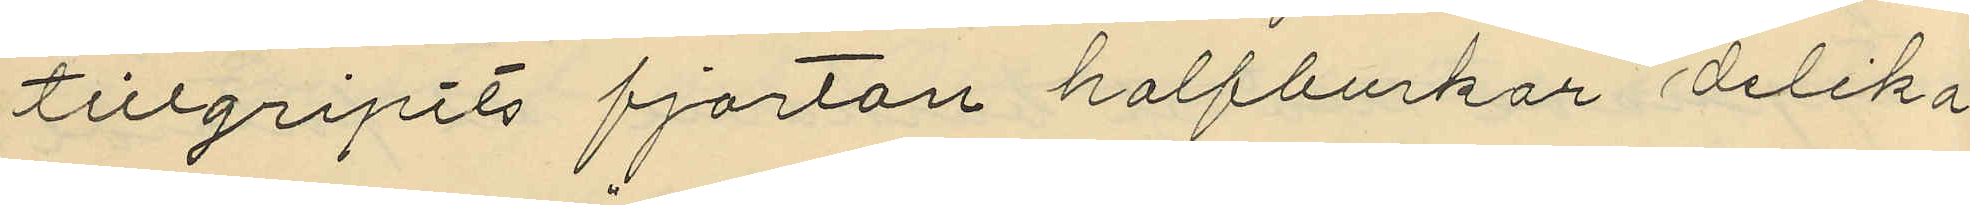tillgripits fjortan halfburkar delika¬
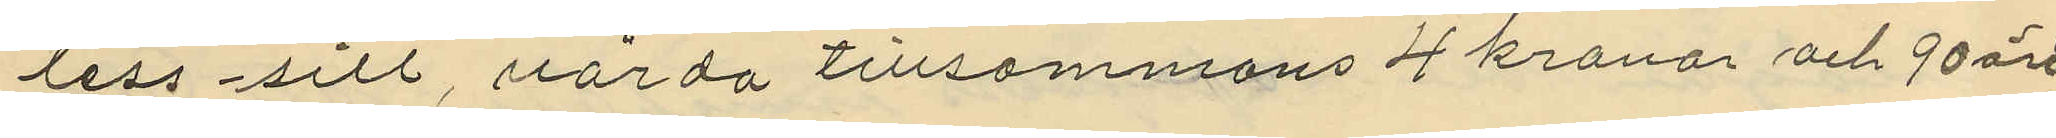tess sill, värda tillsammans 4 kronor och 90 öre
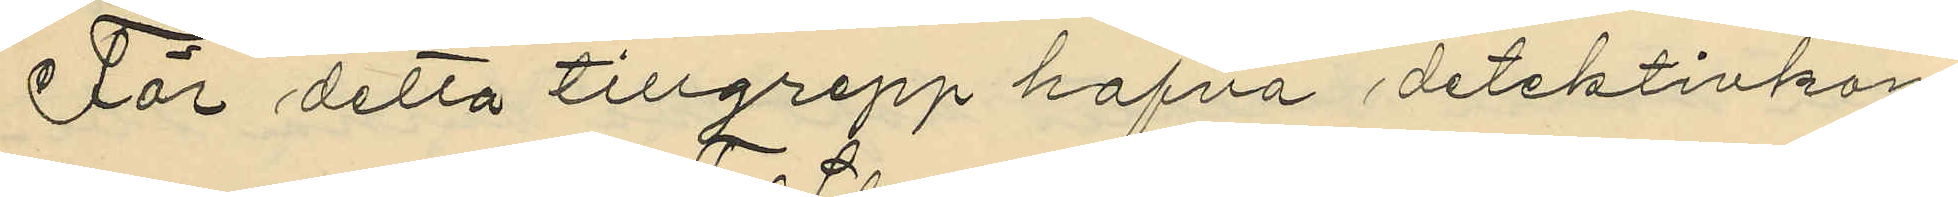För detta tillgrepp hafva detektivkon¬
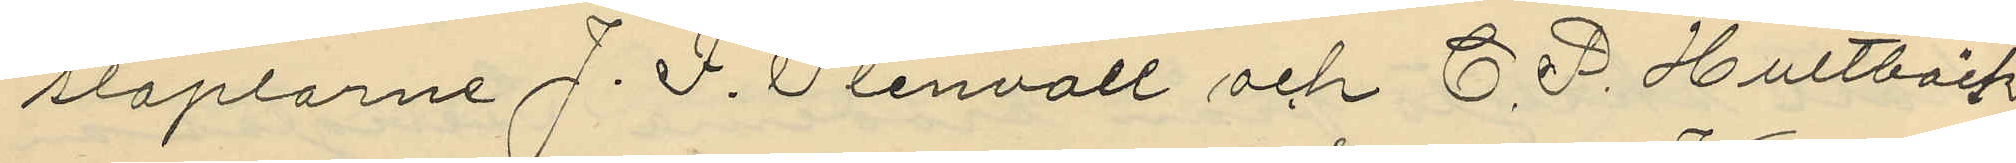staplarne J. F. Stenvall och C. P. Hultbäck
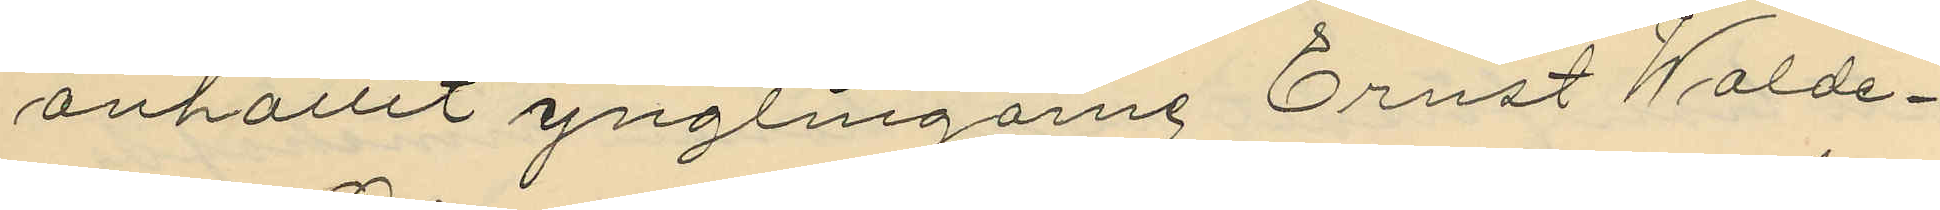anhållit ynglingarne Ernst Walde¬
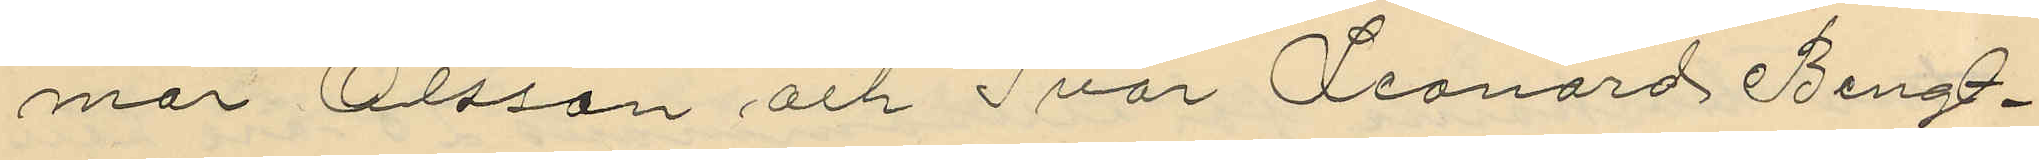mar Olsson och Ivar Leonard Bengt¬
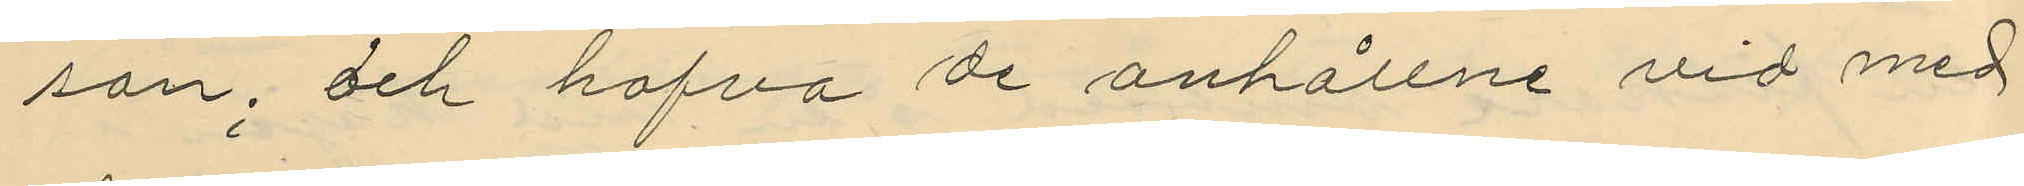son, och hafva de anhållne vid med
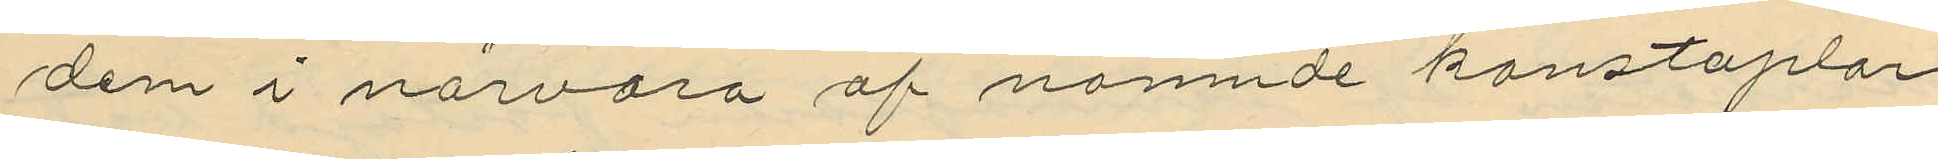dem i närvaro af nämnde konstaplar
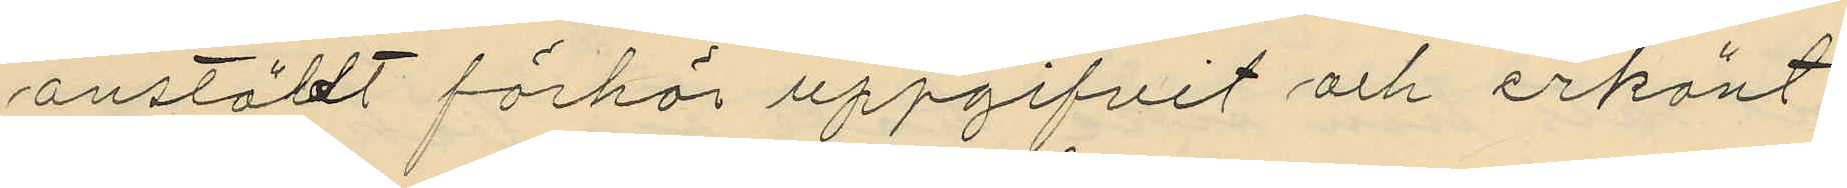anställt förhör uppgifvit och erkänt
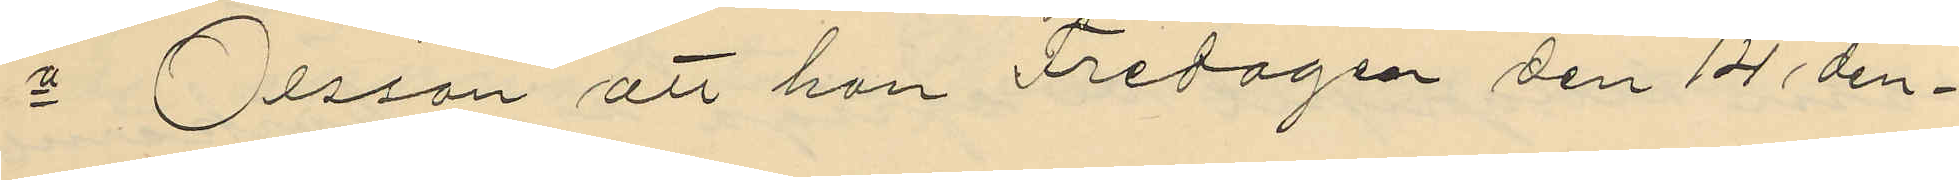1o Olsson att han Fredagen den 14 den¬
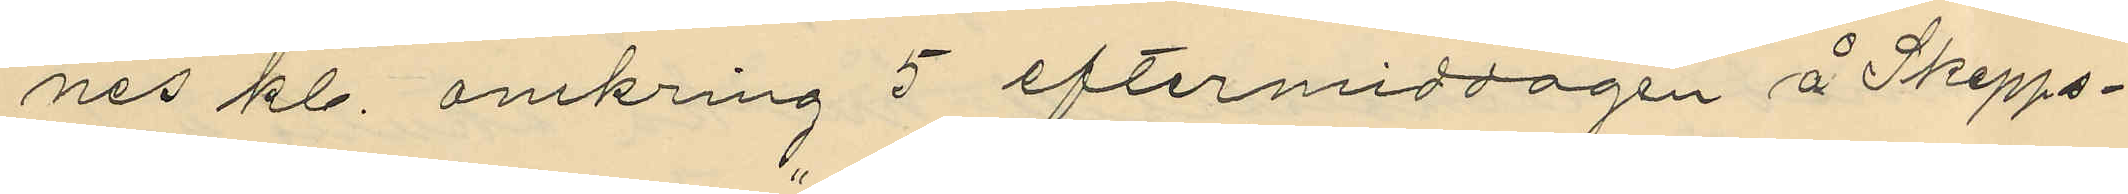nes kl. omkring 5 eftermiddagen å Skepps¬
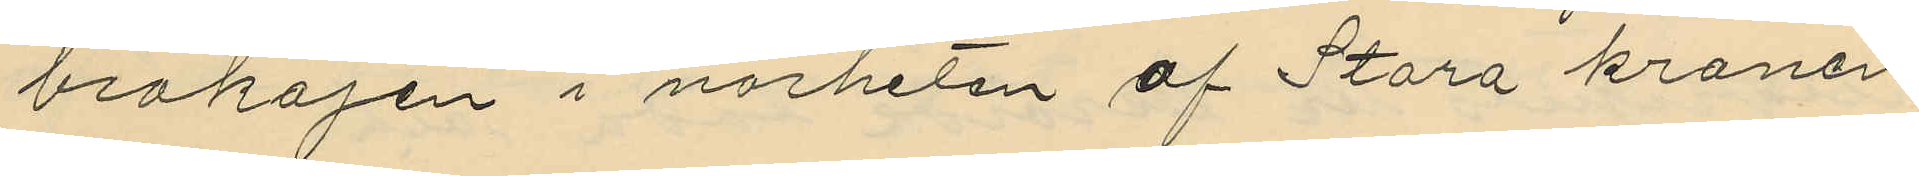brokajen i närheten af Stora kranen
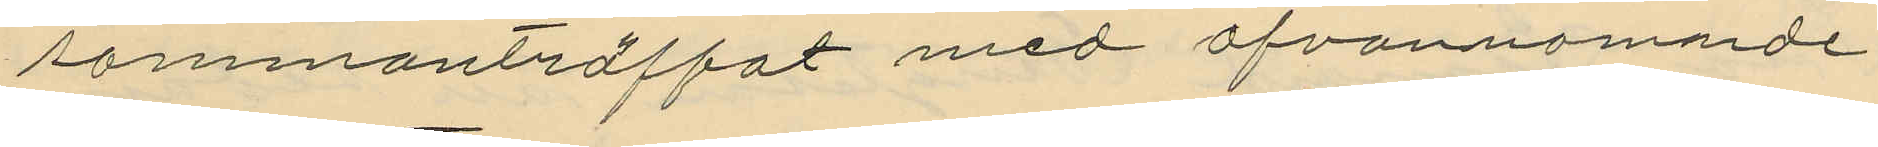sammanträffat med ofvannämnde
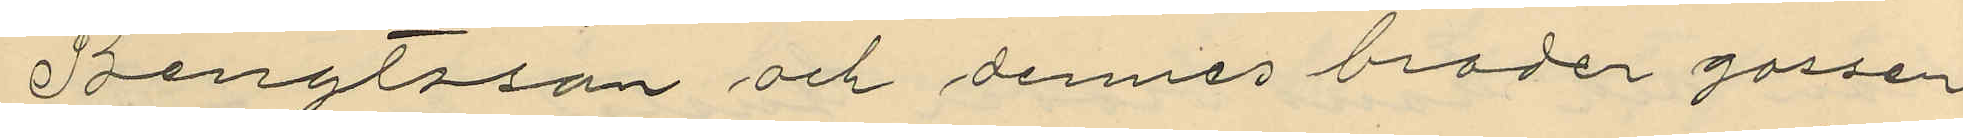Bengtsson och dennes broder gossen
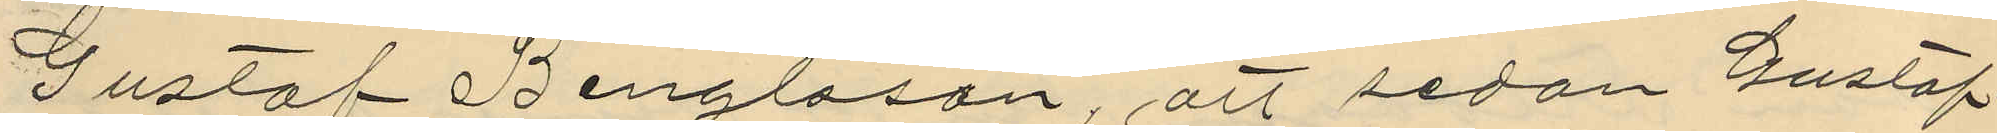Gustaf Bengtsson, att sedan Gustaf
